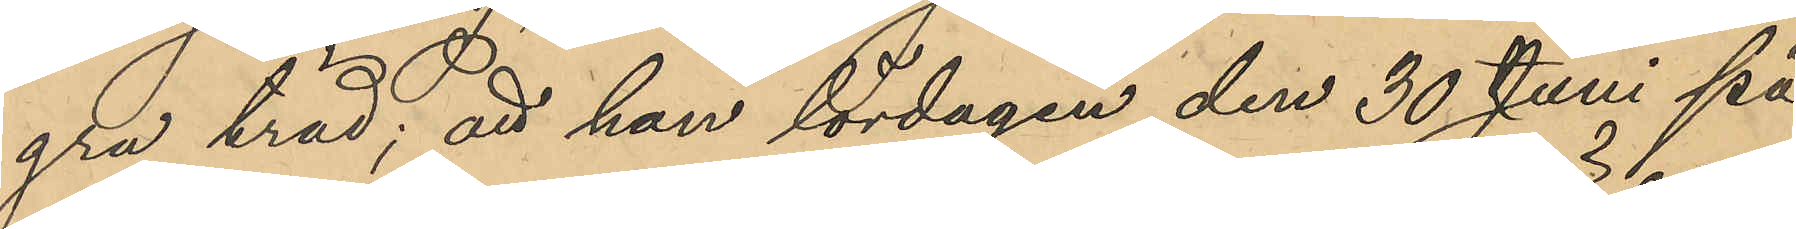gra träd; att han lördagen den 30 Juni på
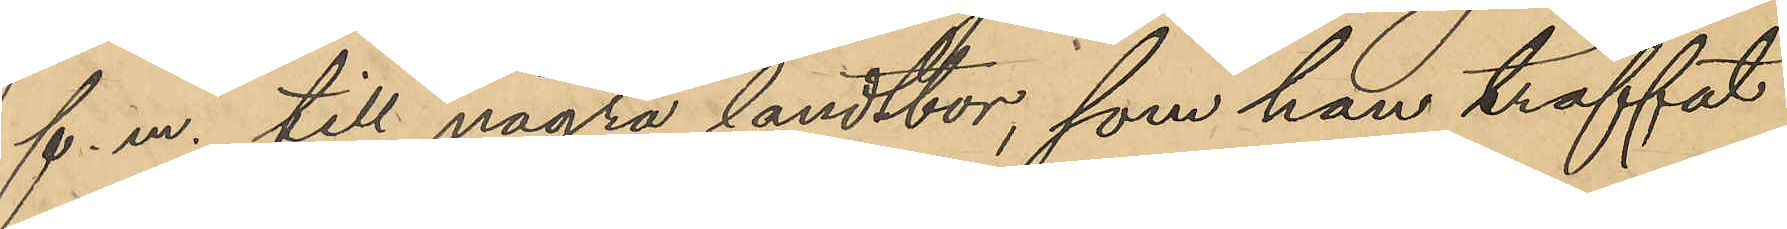f. m. till några landtbor, som han träffat
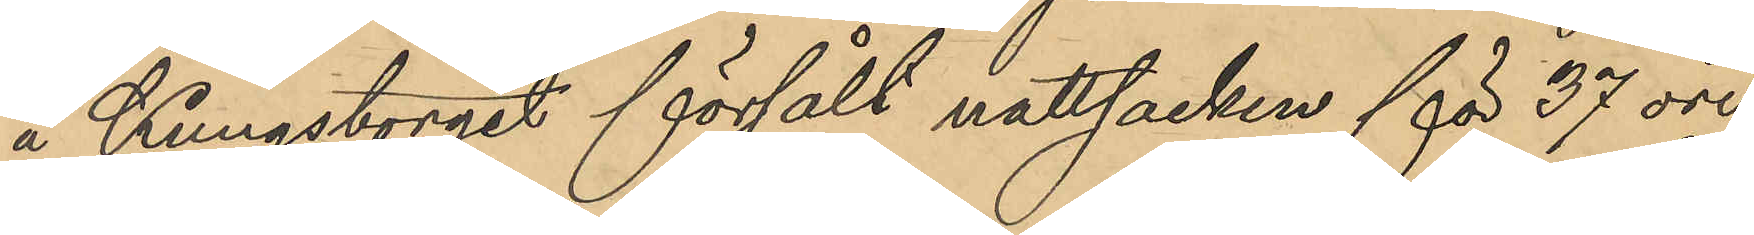å Kungstorget försålt nattsacken för 37 öre
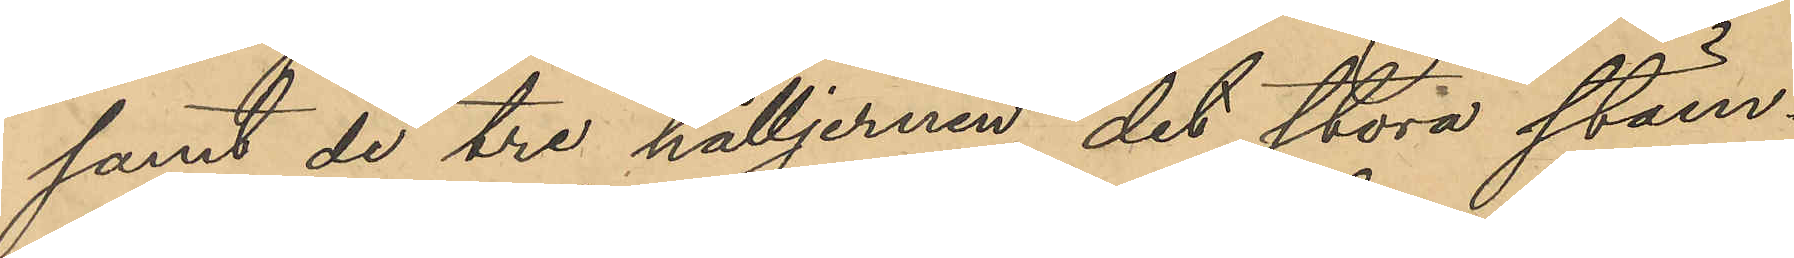samt de tre hålljernen, det stora stäm¬
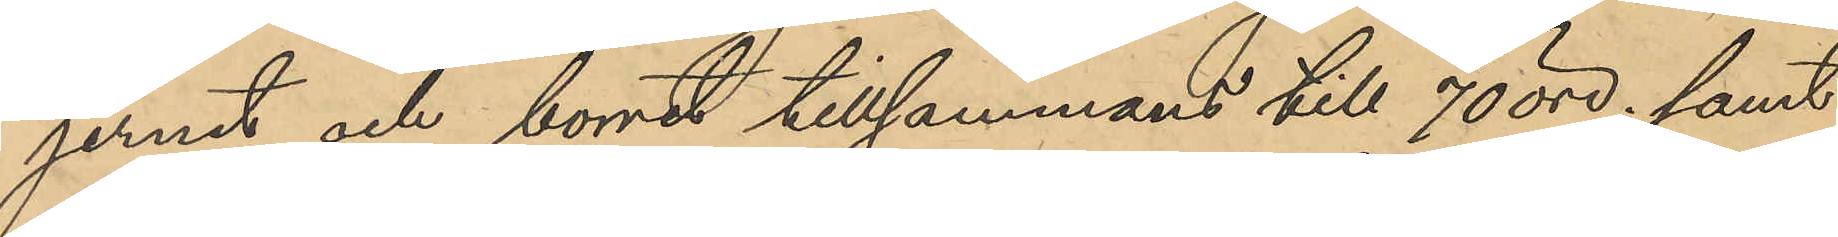jernet och borret tillsammans för 70 öre; samt
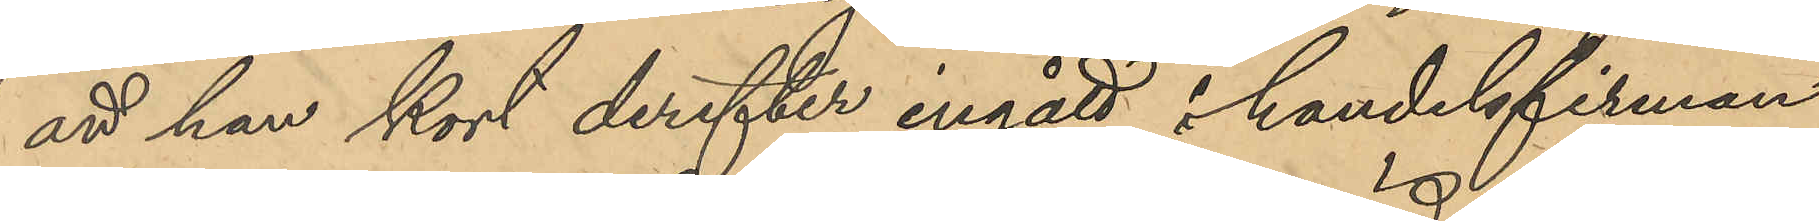att han kort derefter ingått i handelsfirman
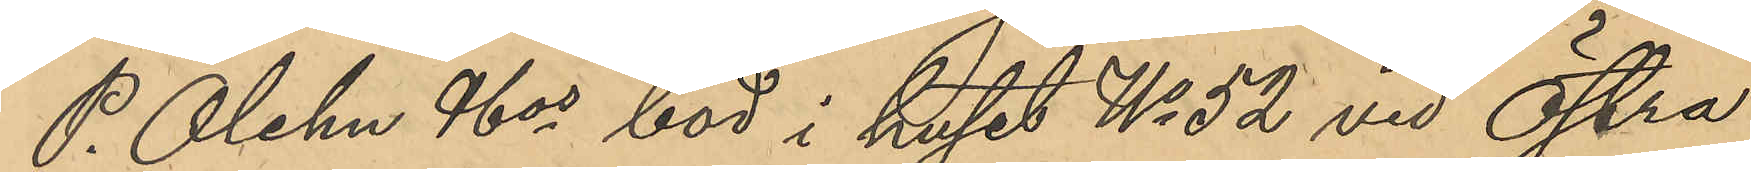P. Ohlen & Cos bod i huset No 52 vid Östra
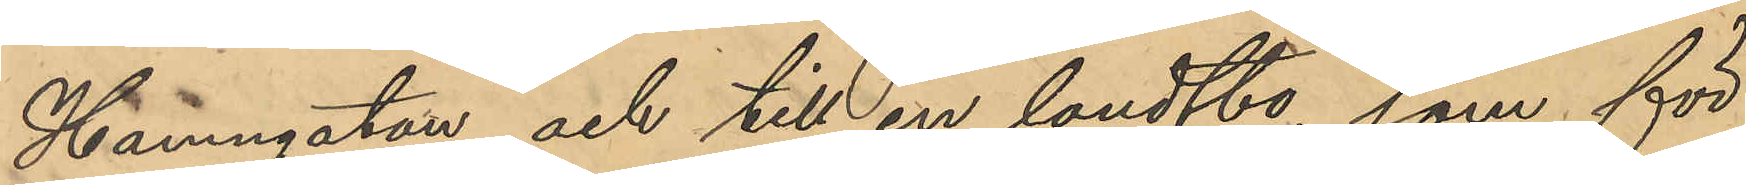Hamngatan och till en landtbo, som för
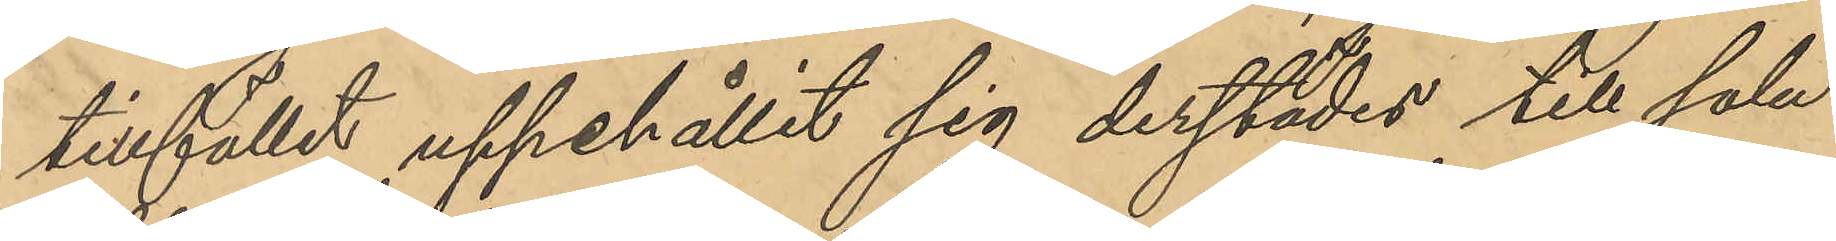tillfället uppehållit sig derstädes till salu
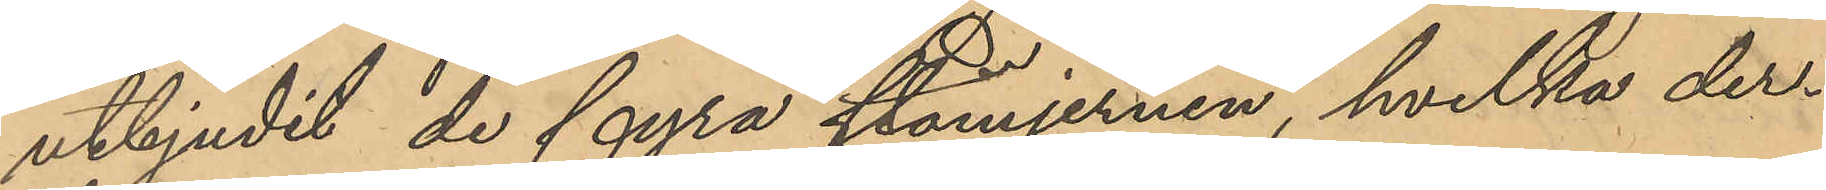utbjudit de fyra stämjernen, hvilka der¬
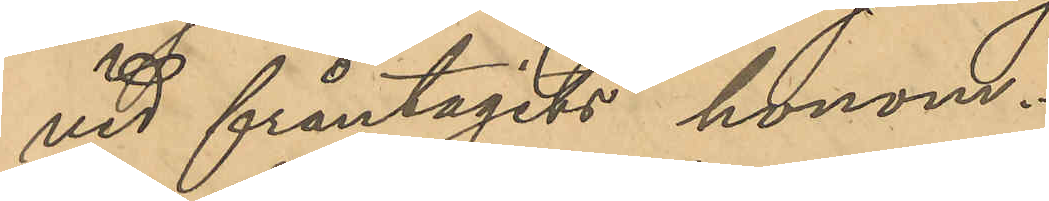vid fråntagits honom.
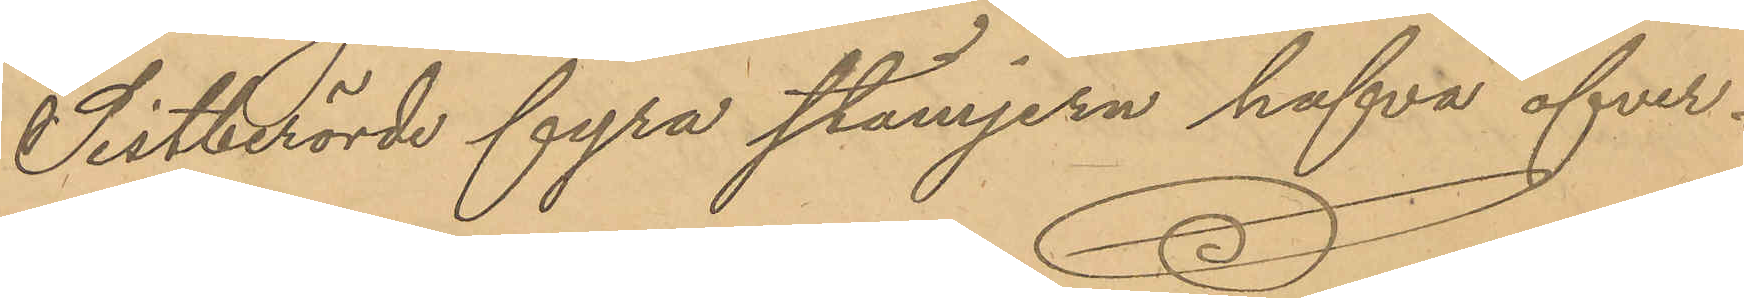Sistberörde fyra stämjern hafva öfver¬
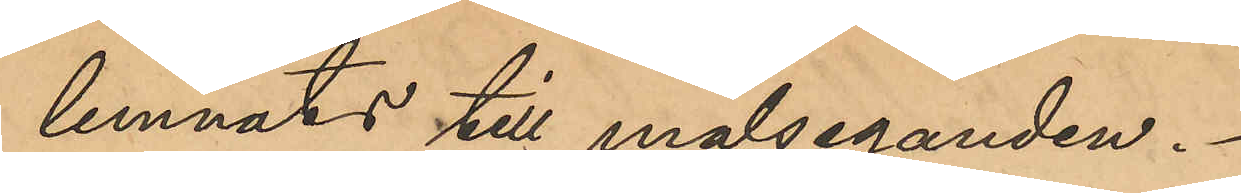lemnats till målseganden.
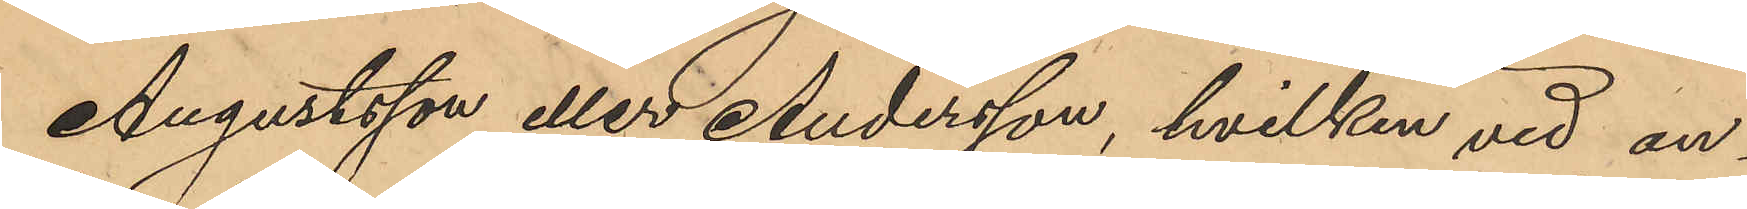Augustsson eller Andersson, hvilken vid an¬
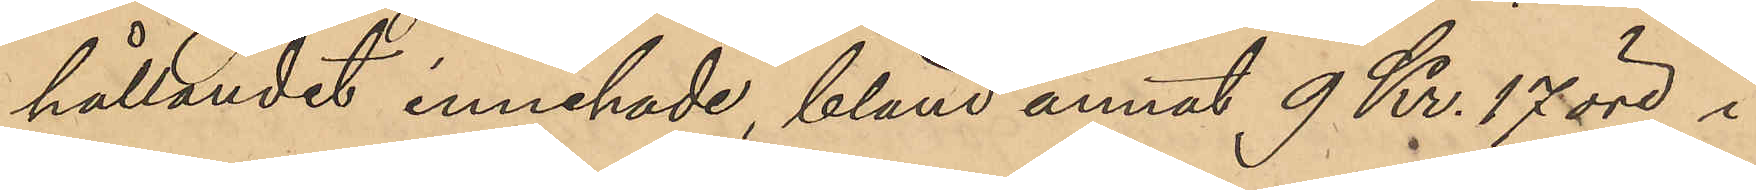hållandet innehade, bland annat 9 Kr. 17 öre i
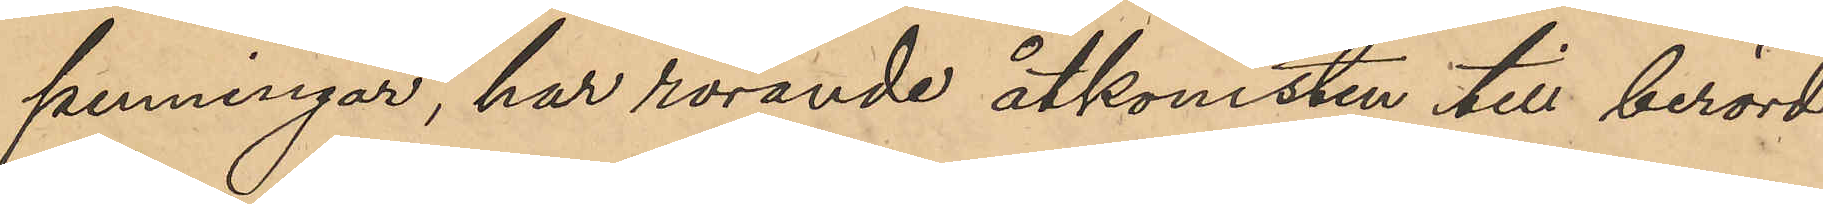penningar, har rörande åtkomsten till berörde
